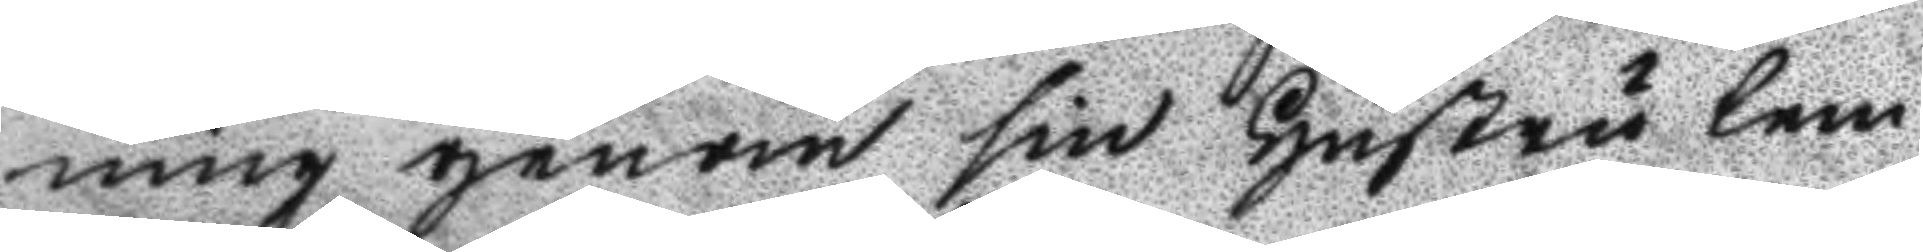ning genom sin hustru lem¬
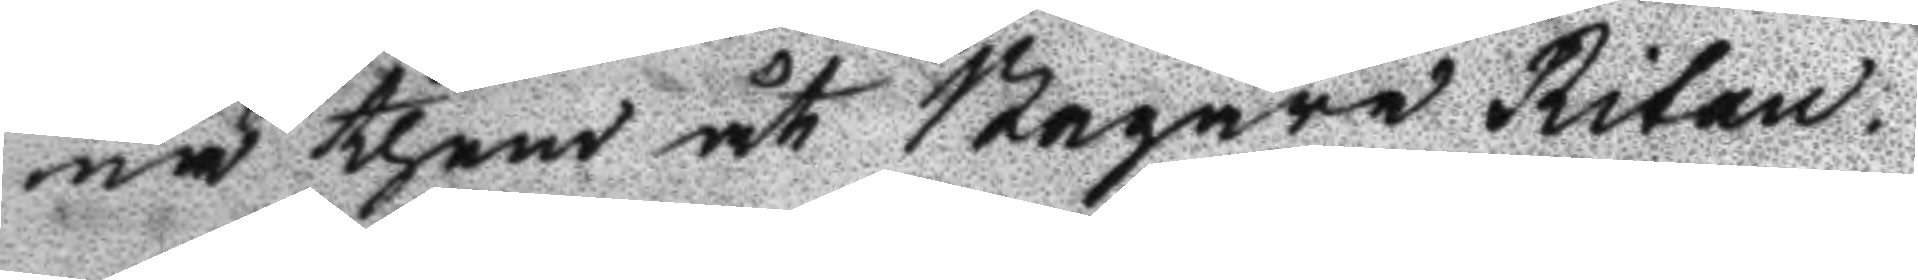na them åt Bagare Ritan.
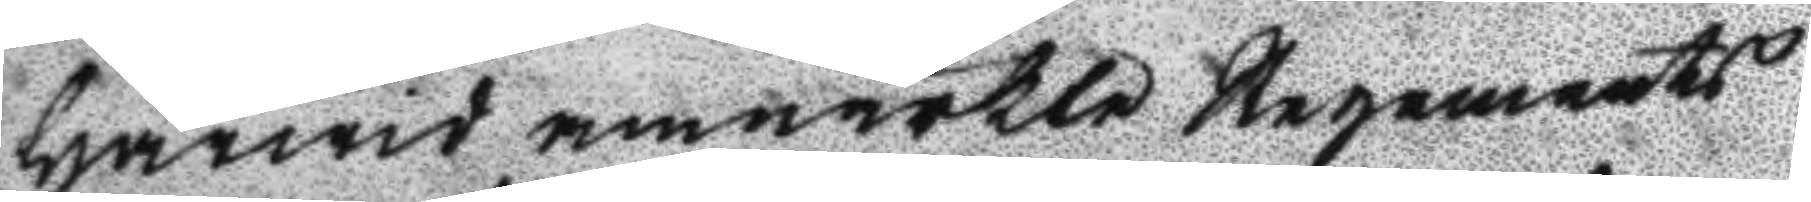Härwid anmärkte Regements
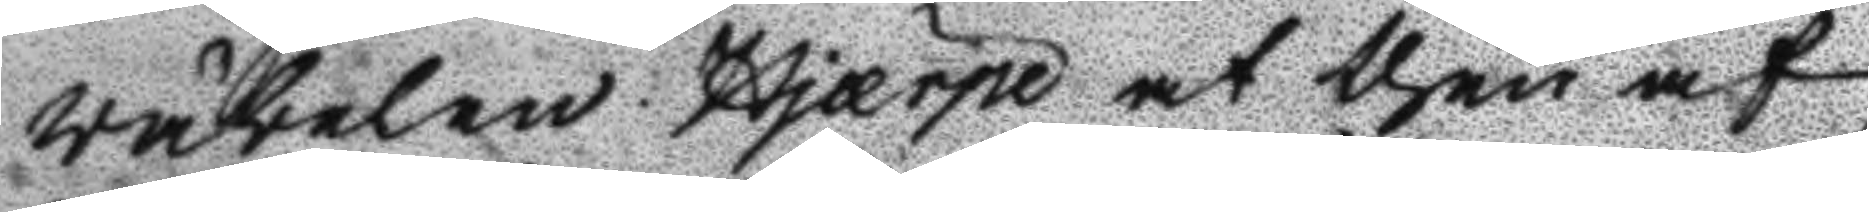väbelen Hjærpe at then af
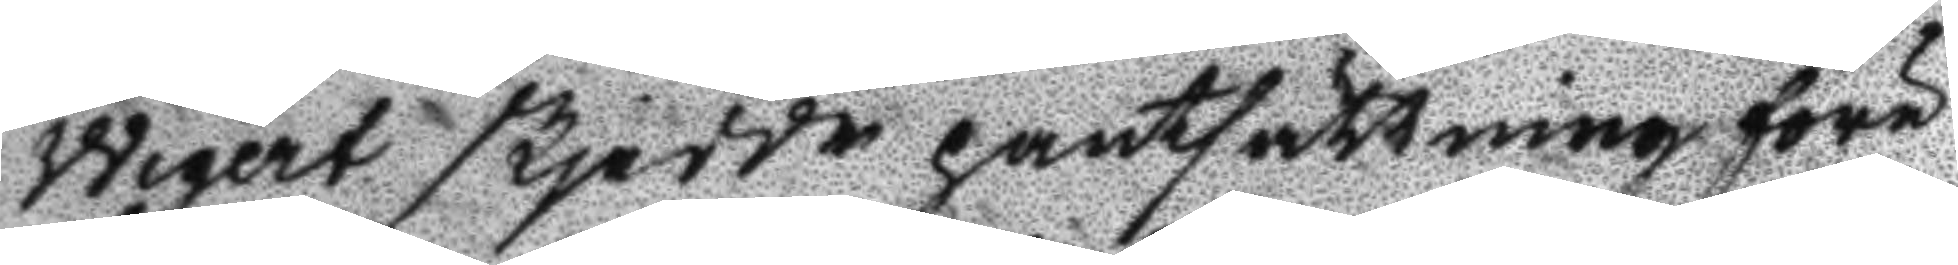Wigert skjedde pantsättningen före
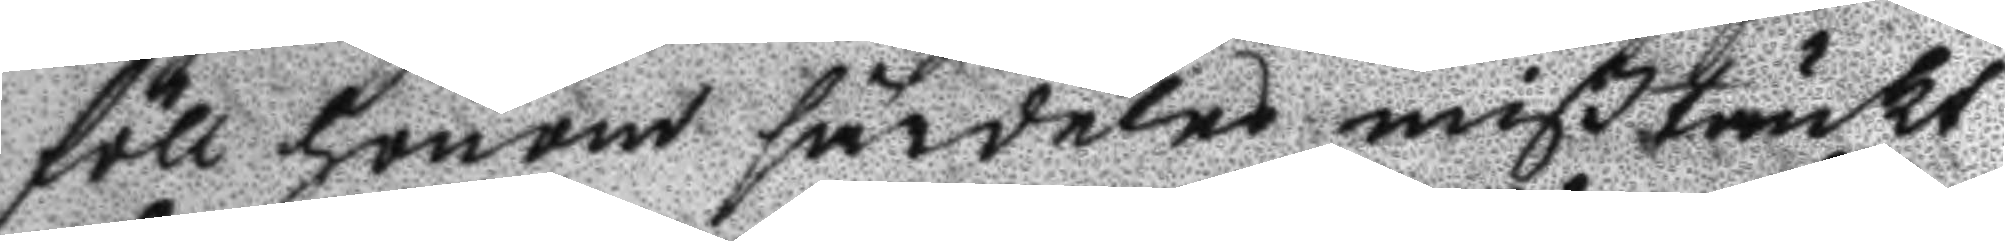föll honom särdeles mißtänkt
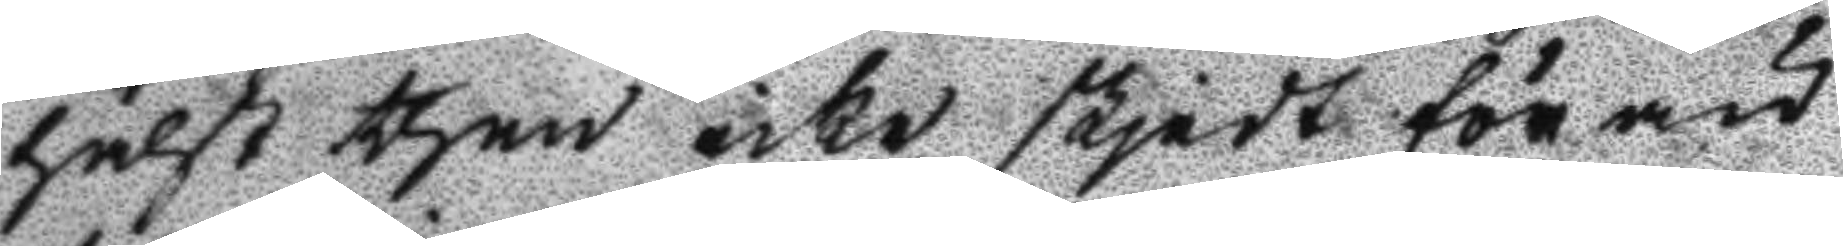hälst then icke skjedt förän
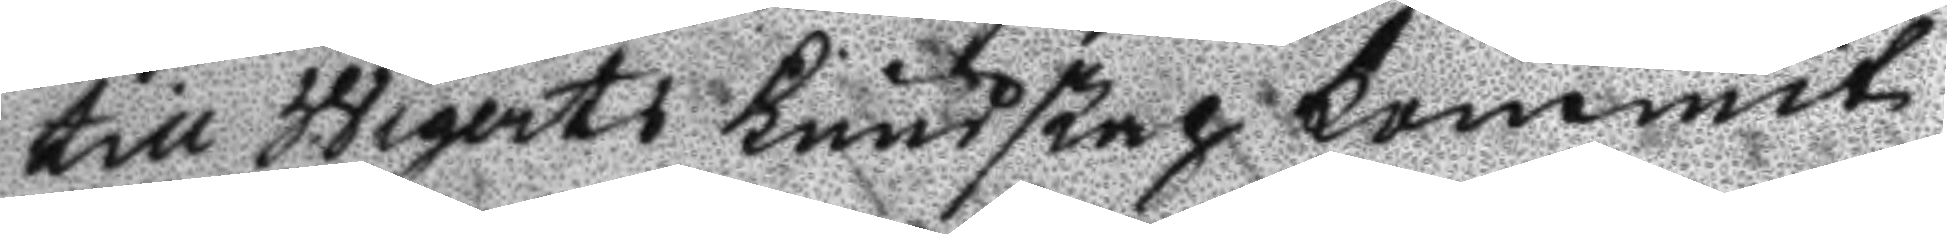till Wigerts kundskap kommit
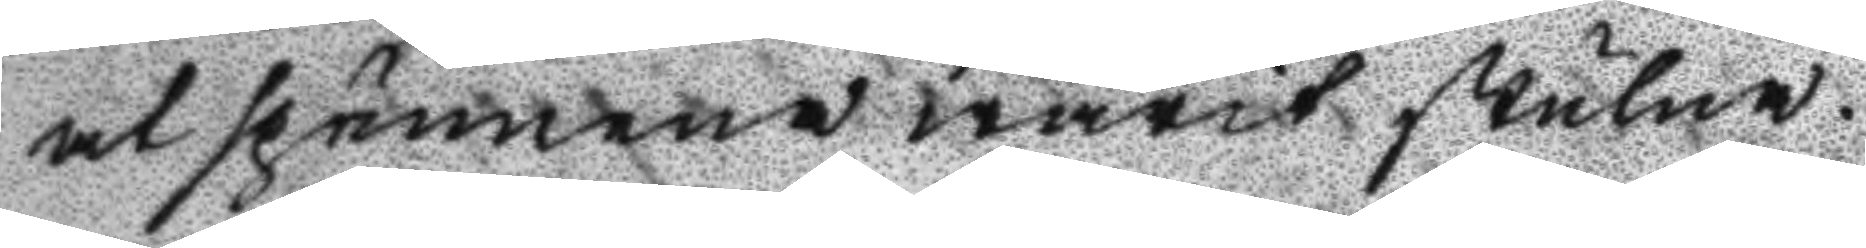at spännena warit stulna.
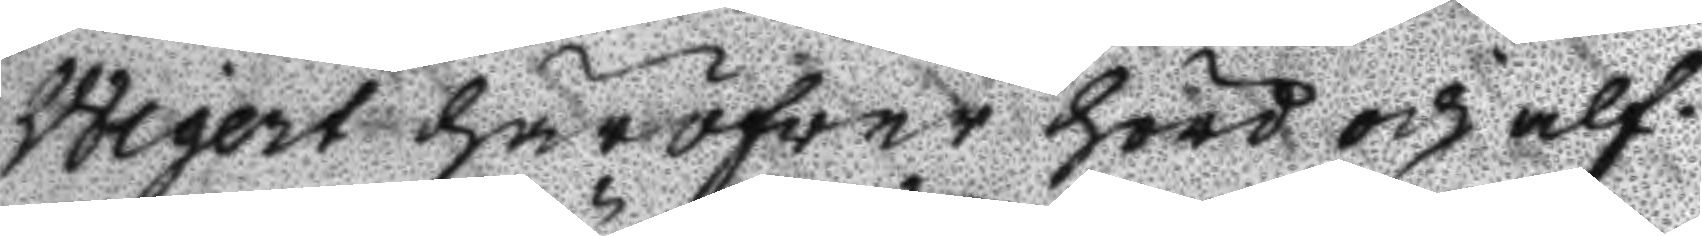Wigert häröfver hörd och alf¬
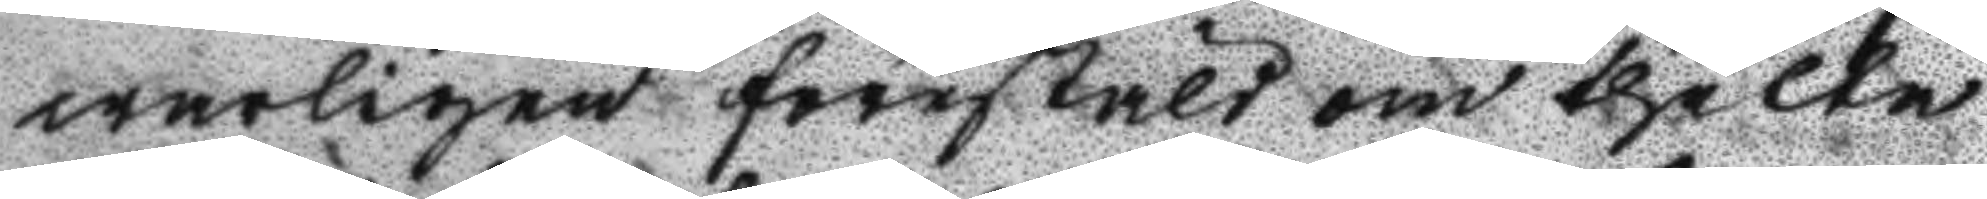warligen förestäld om thette
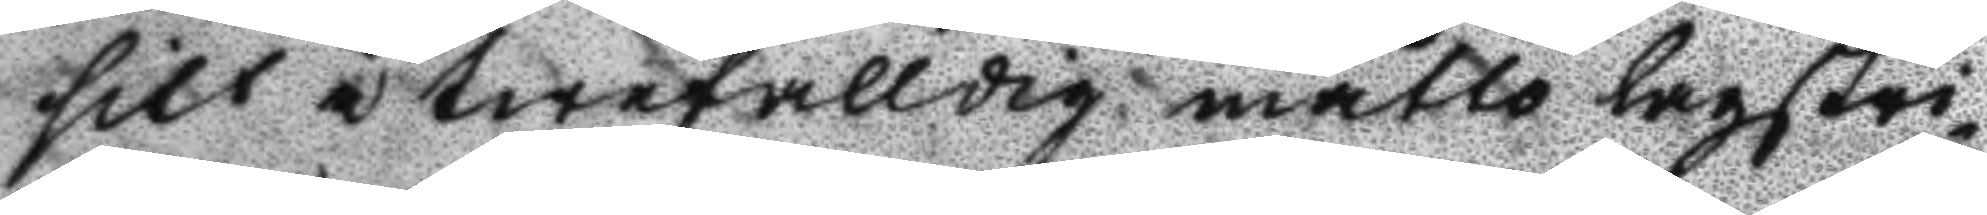sitt å twefalldig måtto lagstri¬
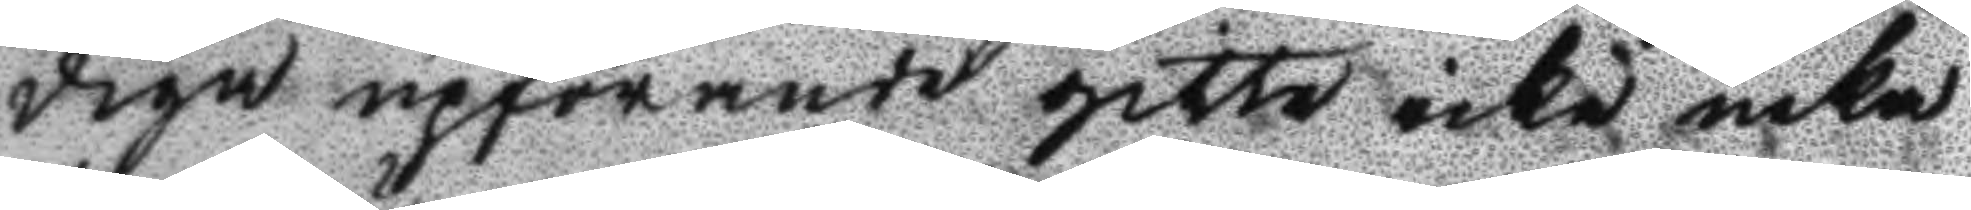dige upförande gitte icke neka
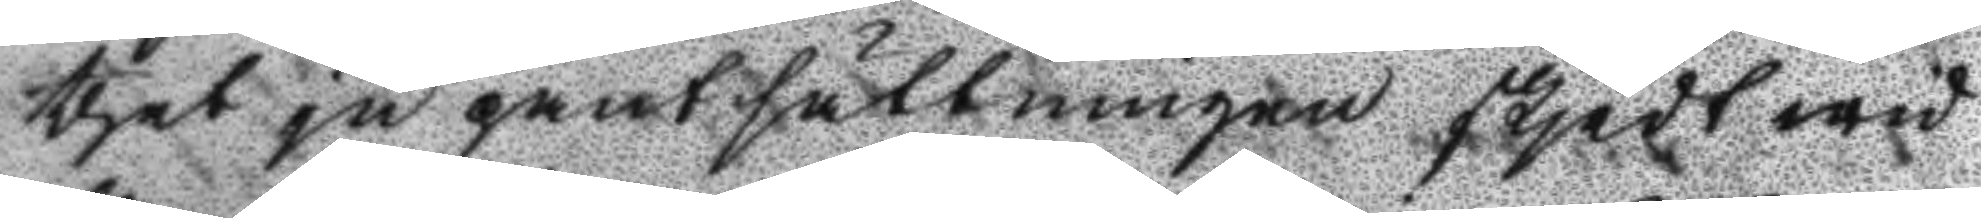thet ju pantsättningen skjedt wid
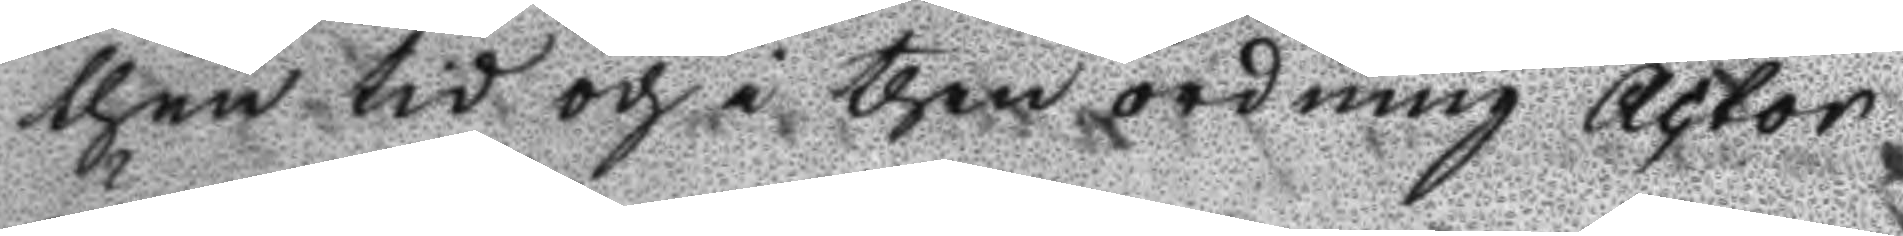then tid och i then ordning Actor
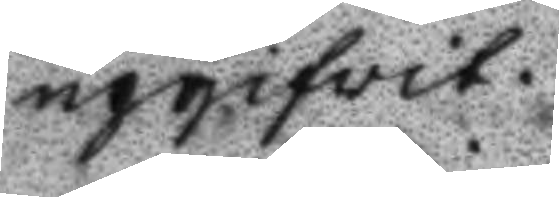upgifvit.
